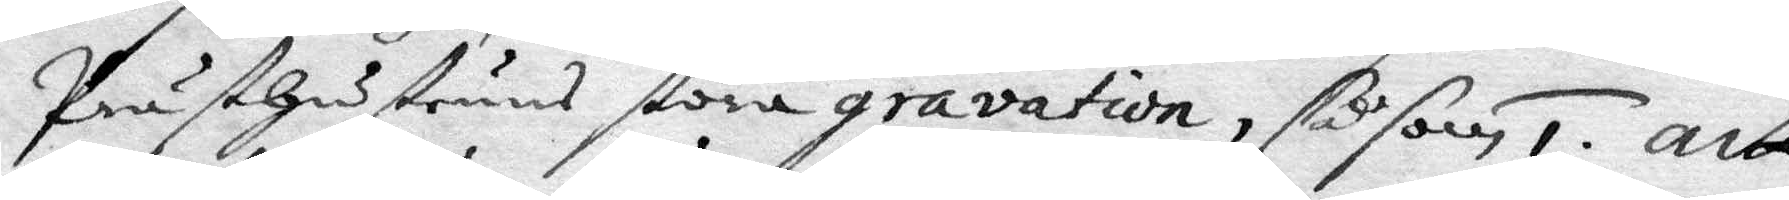Prästhustruns stora gravation, så som 1. att
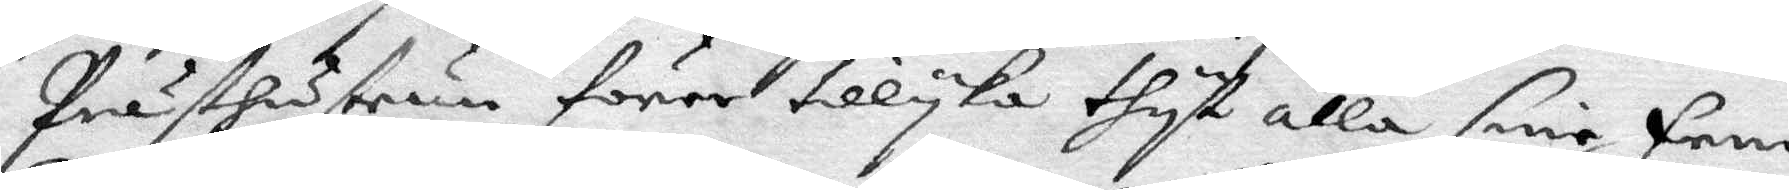prästhustrun förer tillyka thyt alla sine fem
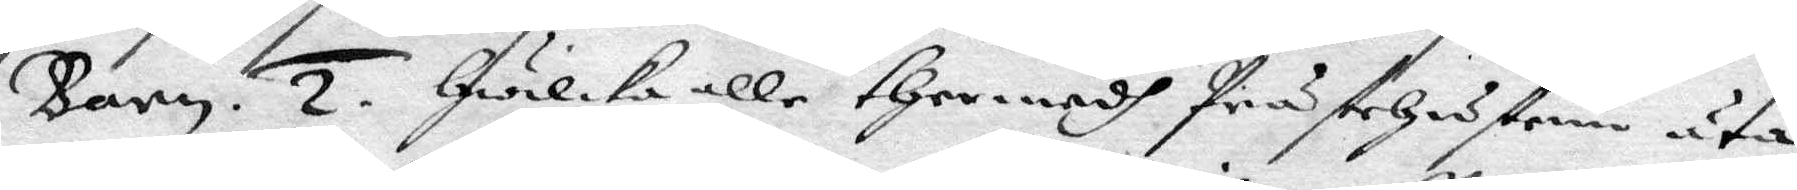barn. 2. Gwilka alle ther medh Prästehustrun äta
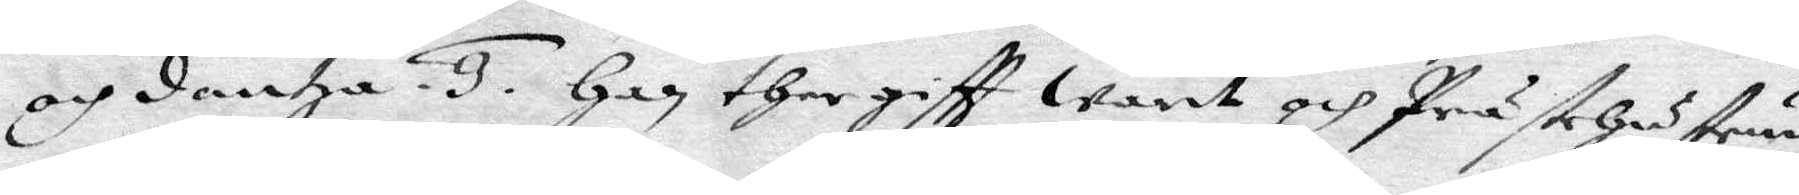och dantza. 3. Han ther giftt warit och Prästhustrun
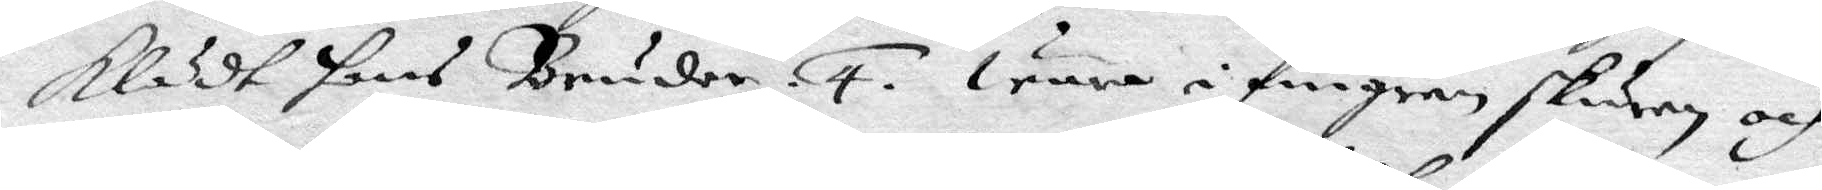klädt hans Bruder. 4. wore i fingren skuren och
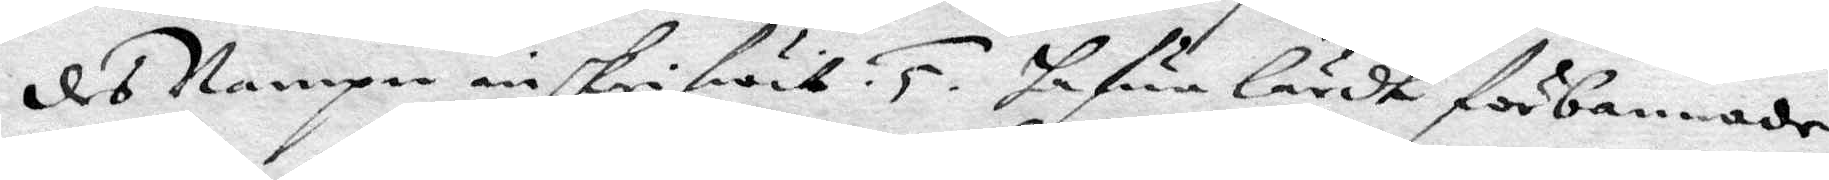des Nampn inskrifwit. 5. hafwe lärdt förbannade
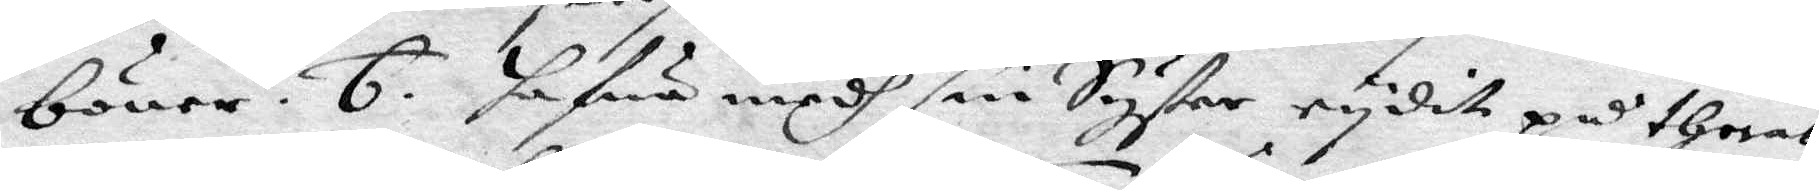böner. 6. hafwe medh sin Syster rydit på theras
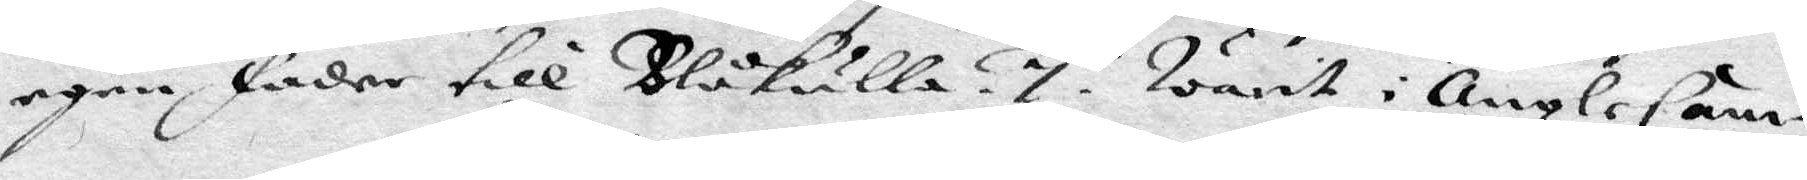egen fader till Blåkulla. 7. warit i ÄngleCam¬
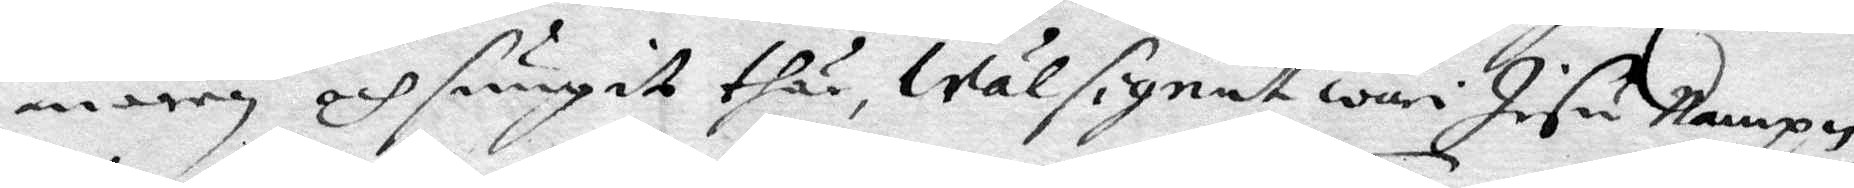maren och sungit thär, Wälsignat wari Jesu nampn,
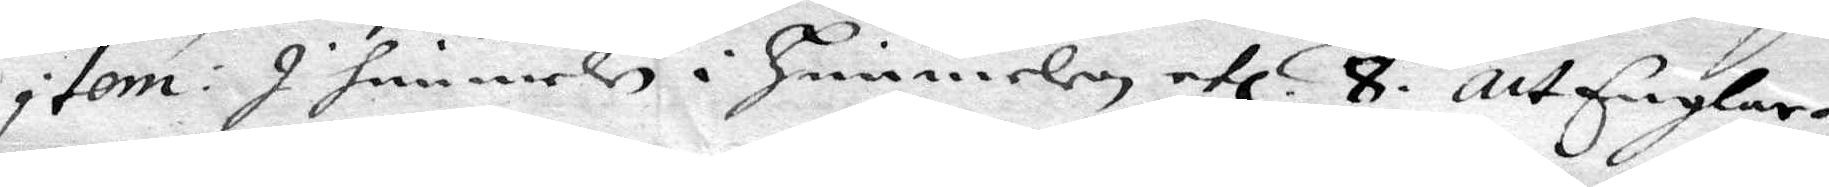item: I hinneln i Himmelen etc. 8. Att Englar¬
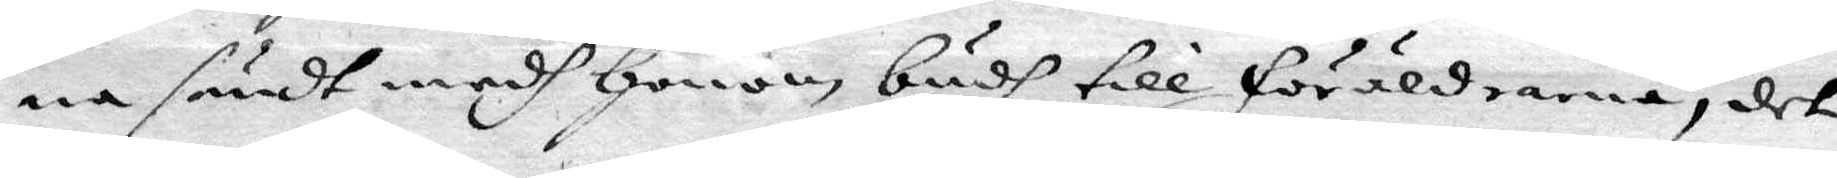na sändt medh Honom budh till föräldrarna, det
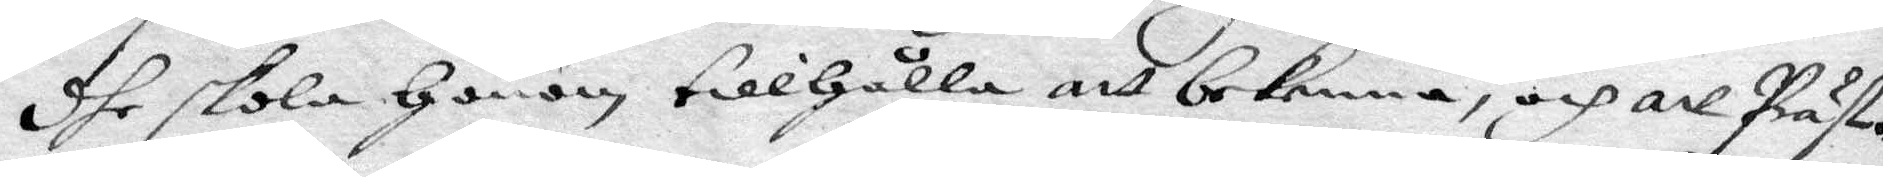dhe skola Honom tillgålla att bekenna, och att Präse¬
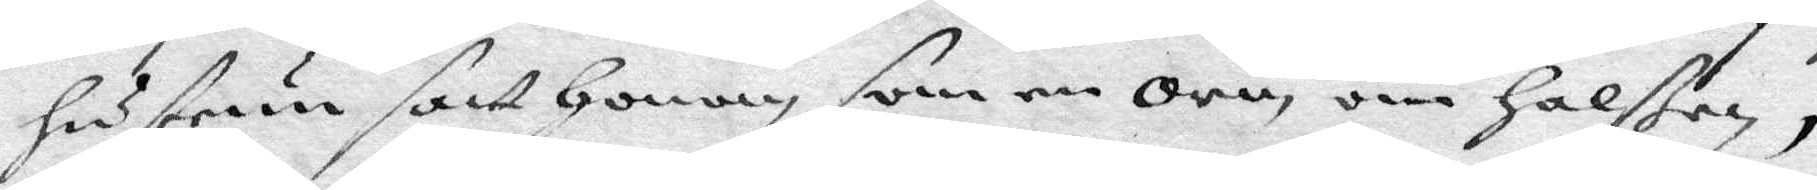hustrun satt Honom, som en Orm, om Halster,
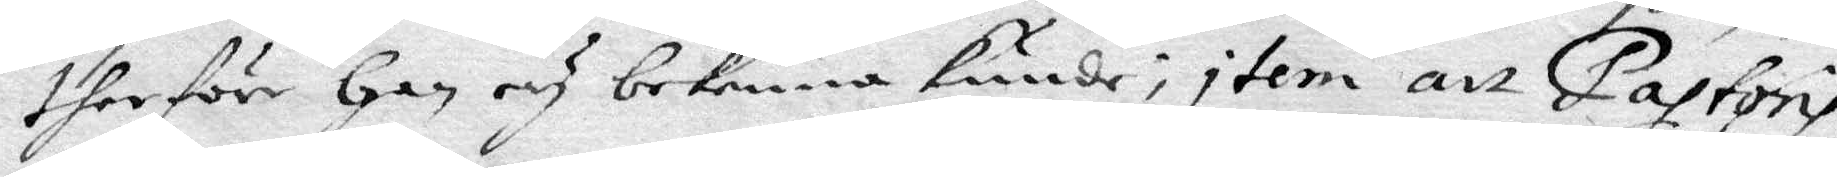therföre han ey bekenna kunde; item att Pastoris
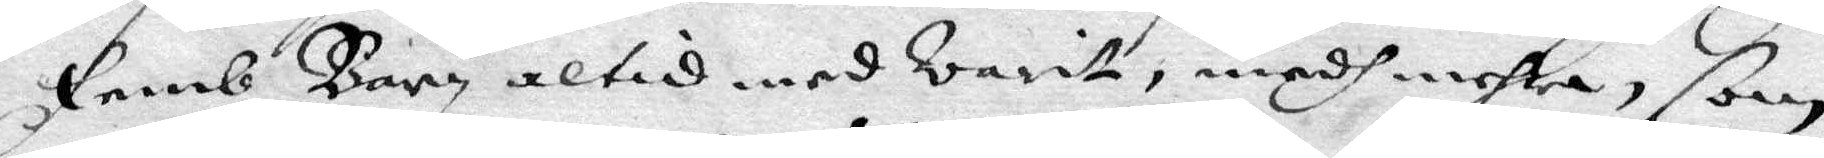femb barn altid med warit, medh mehra, som
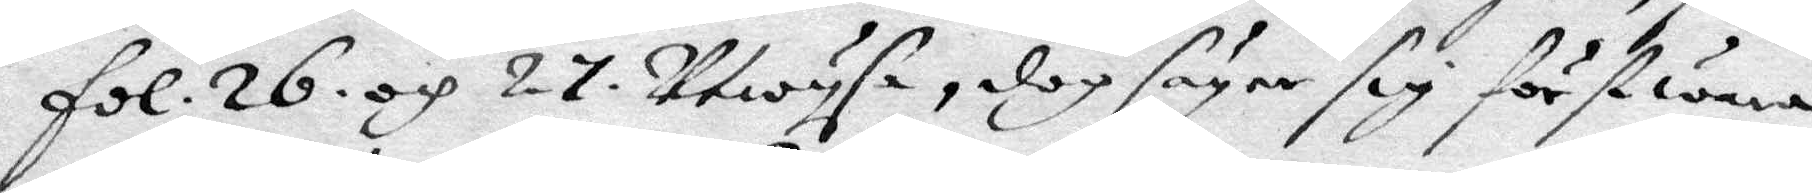fol. 26. och 27 utwysa. dog säyer sig först wara
